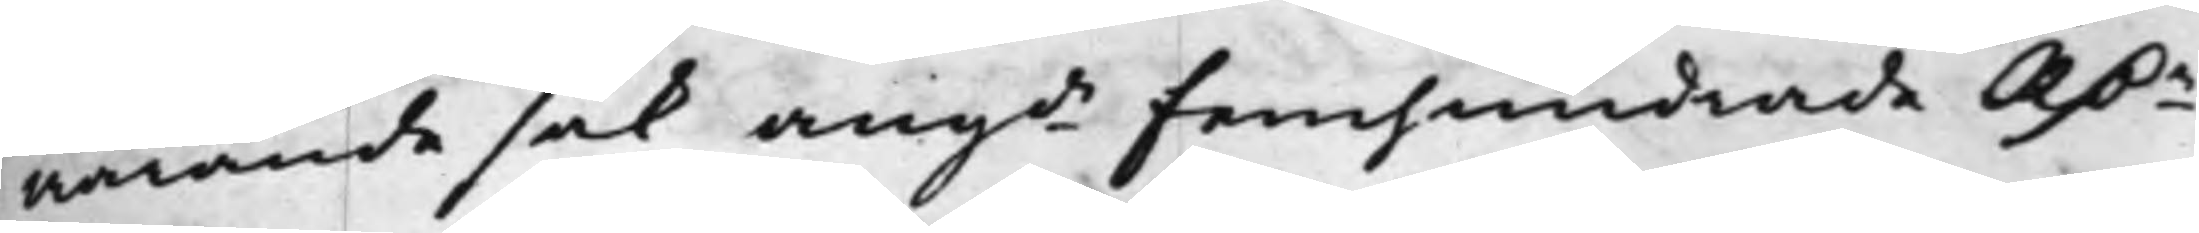warande sak, angde Femhundrade RD.r
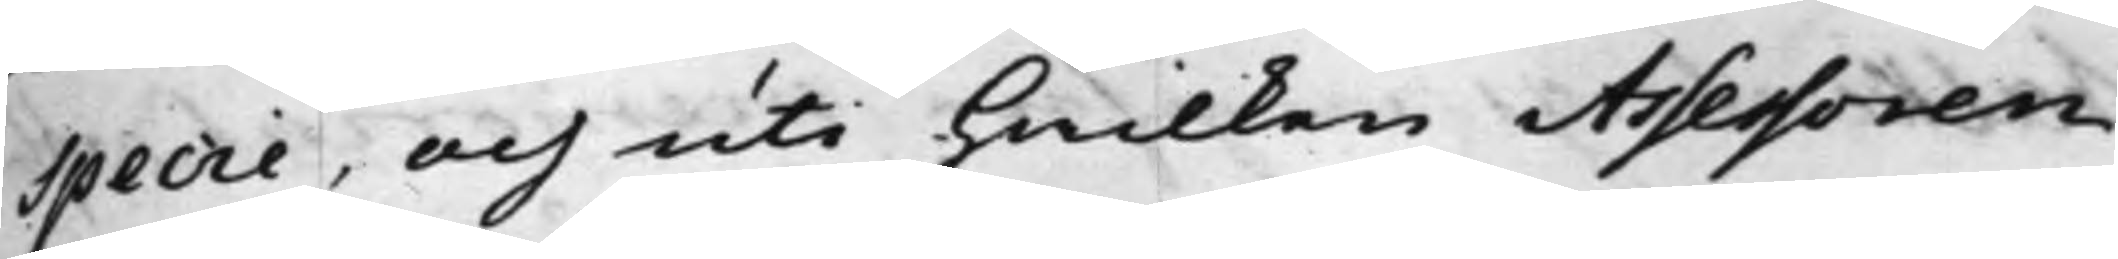Specie, och uti hwilken Assessoren
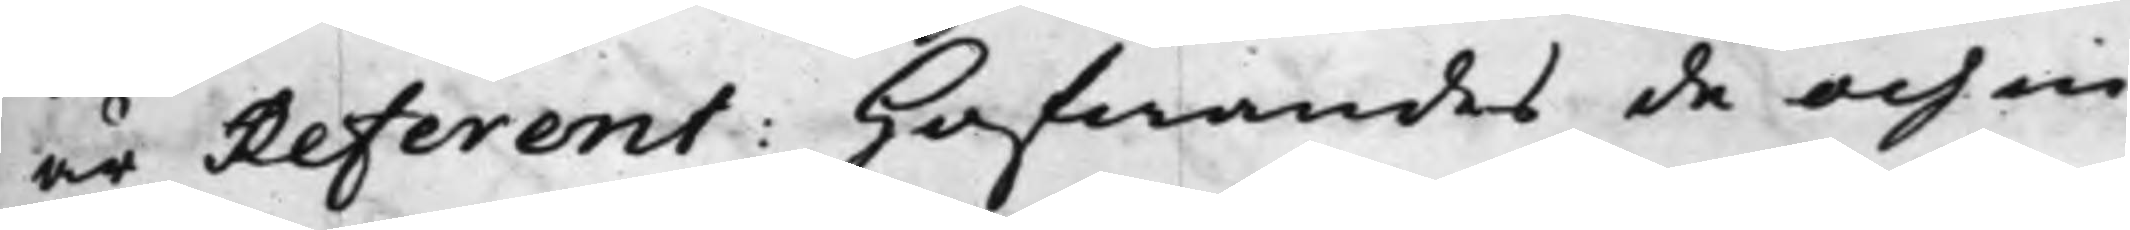är Referent: hafwandes de och in¬
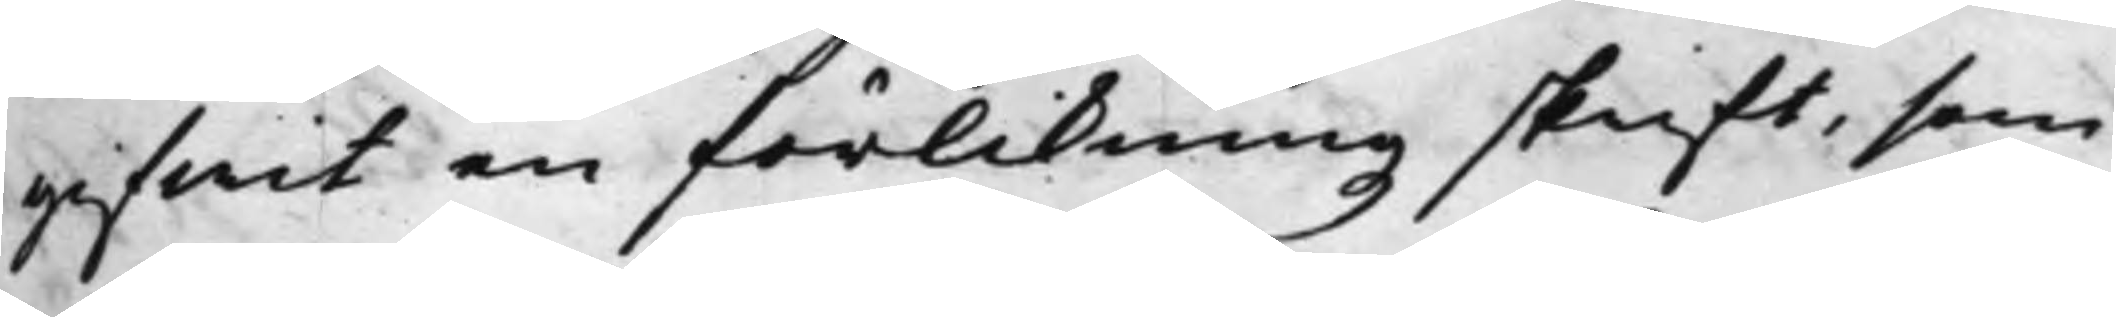gifwit en förlikningz skrift, som
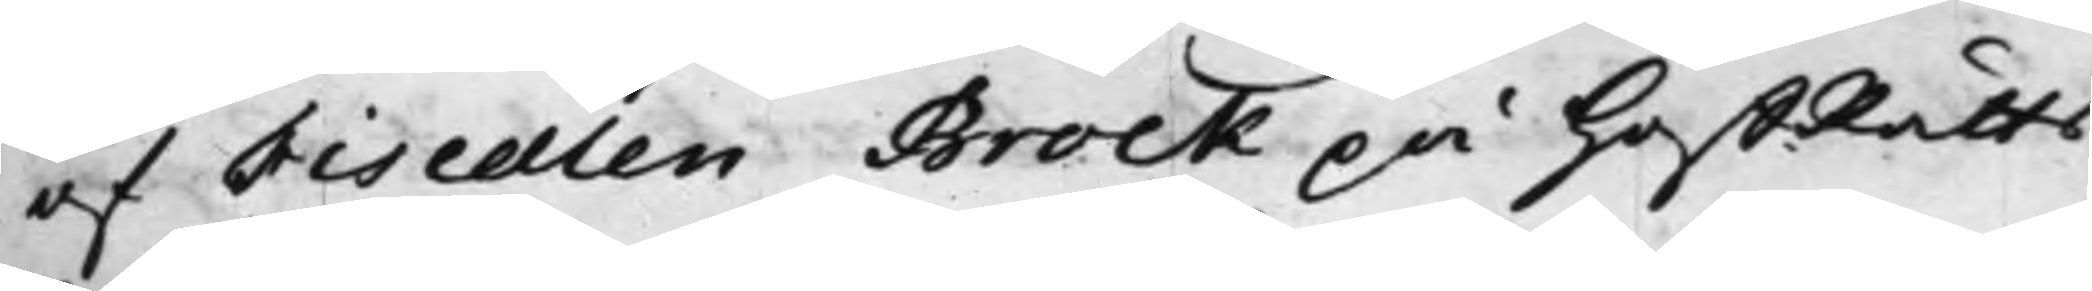af Fiscalen Brock på HoffRätts¬
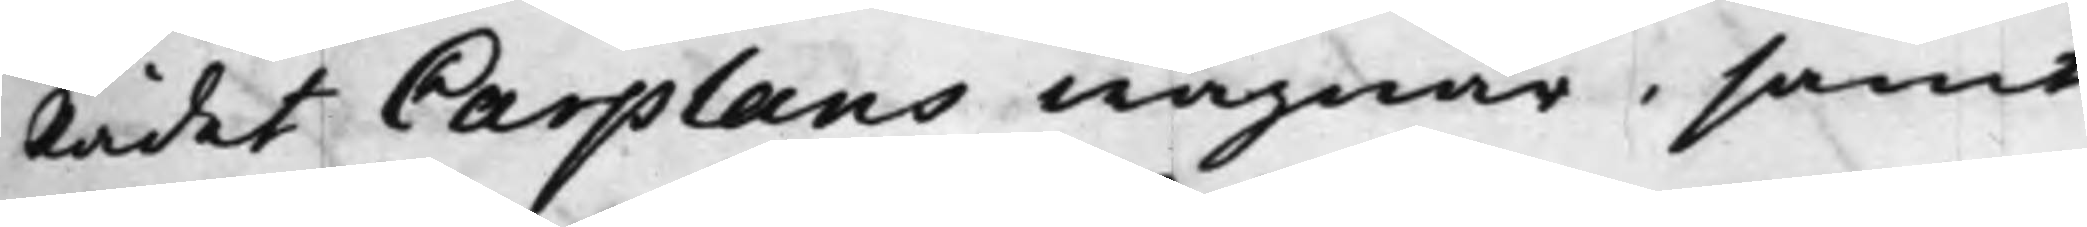Rådet Carplans wägnar, samt
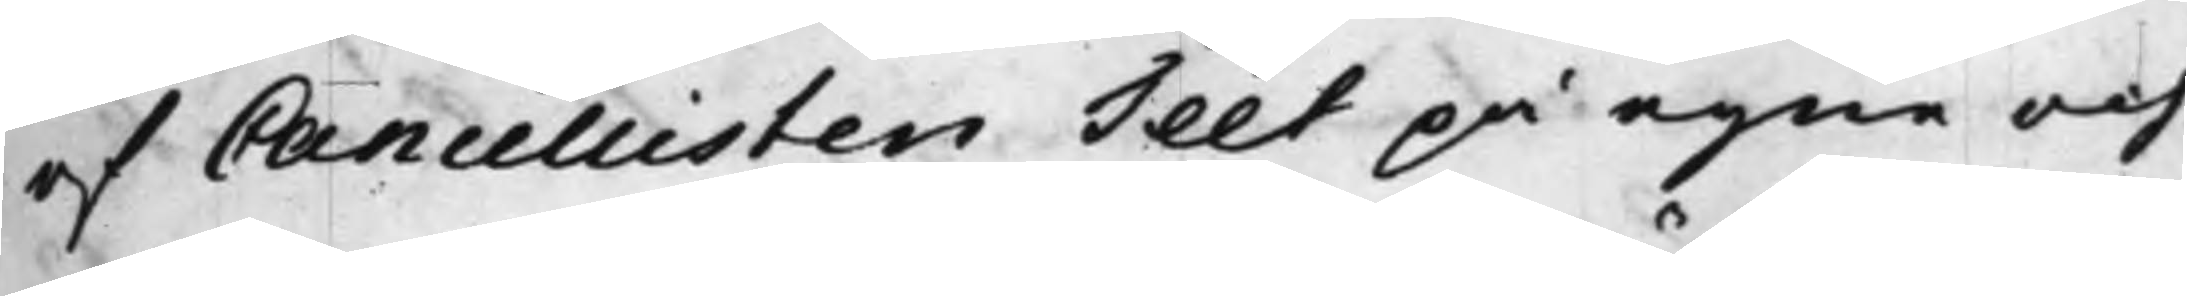af Cancellisten Téet på egne och
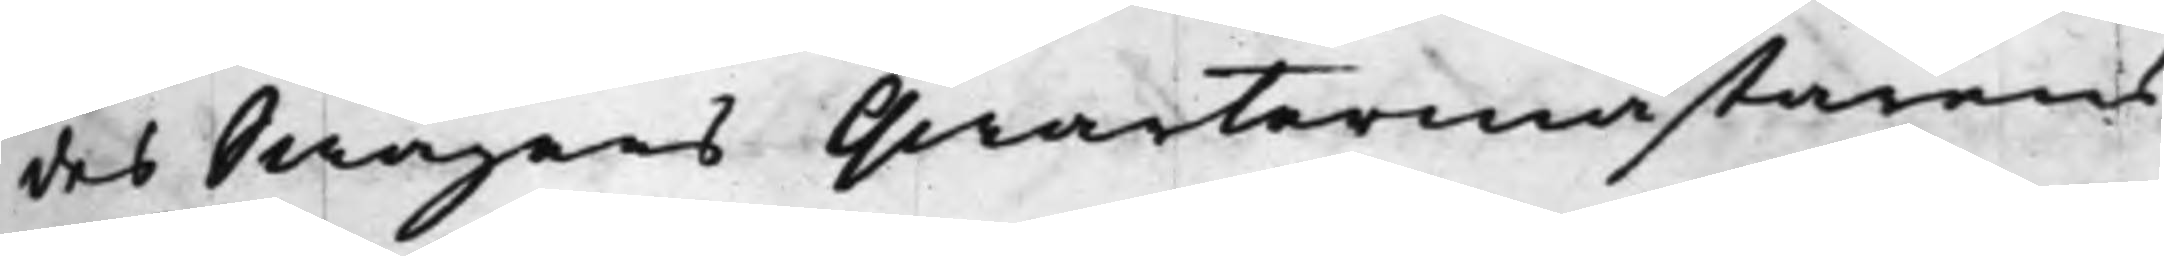des Swågers Qwartermästarens
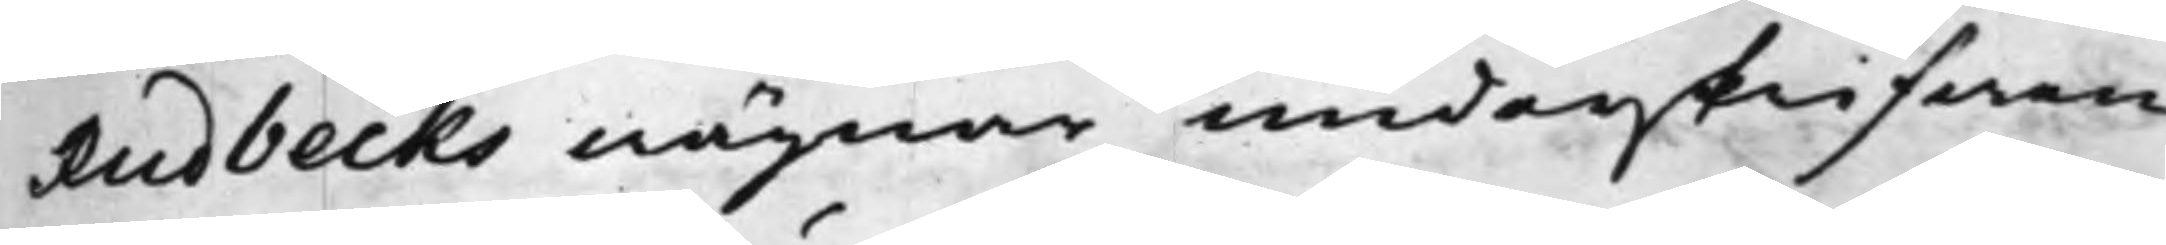Rudbecks wägnar underskrifwen
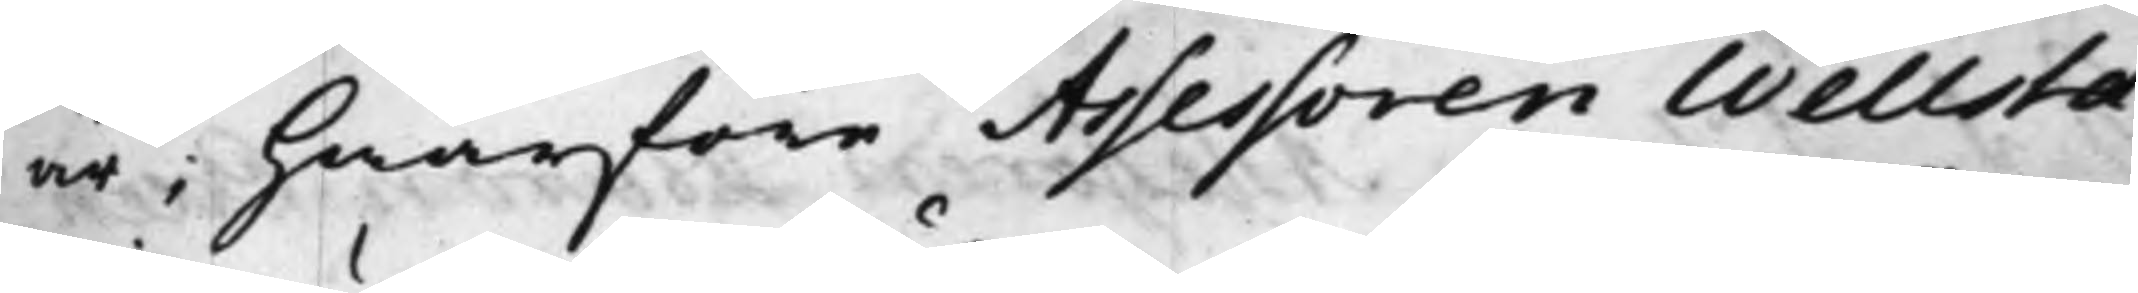är; hwarföre Assessoren Wellsta¬
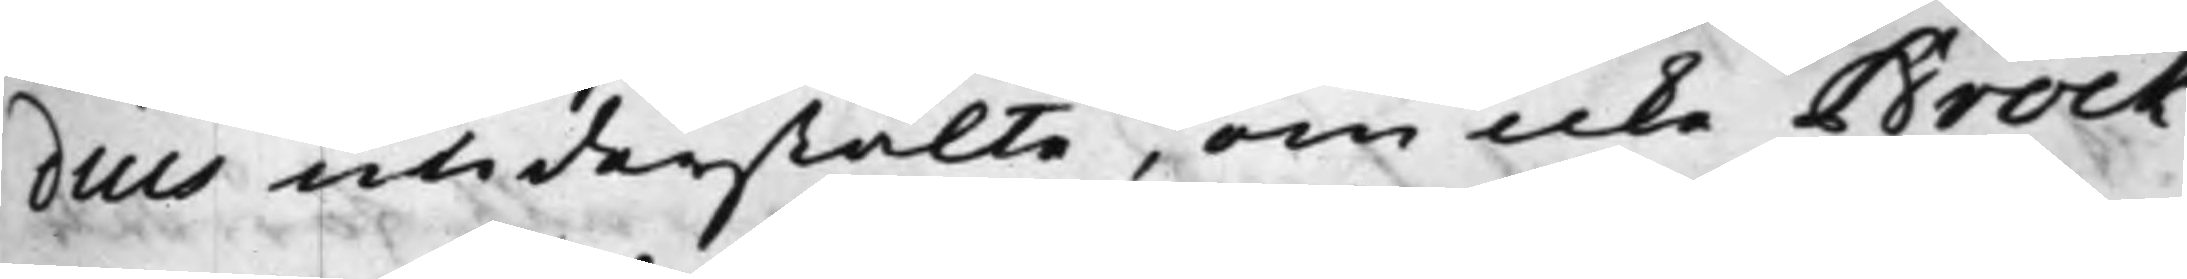dius understälte, om icke Brock
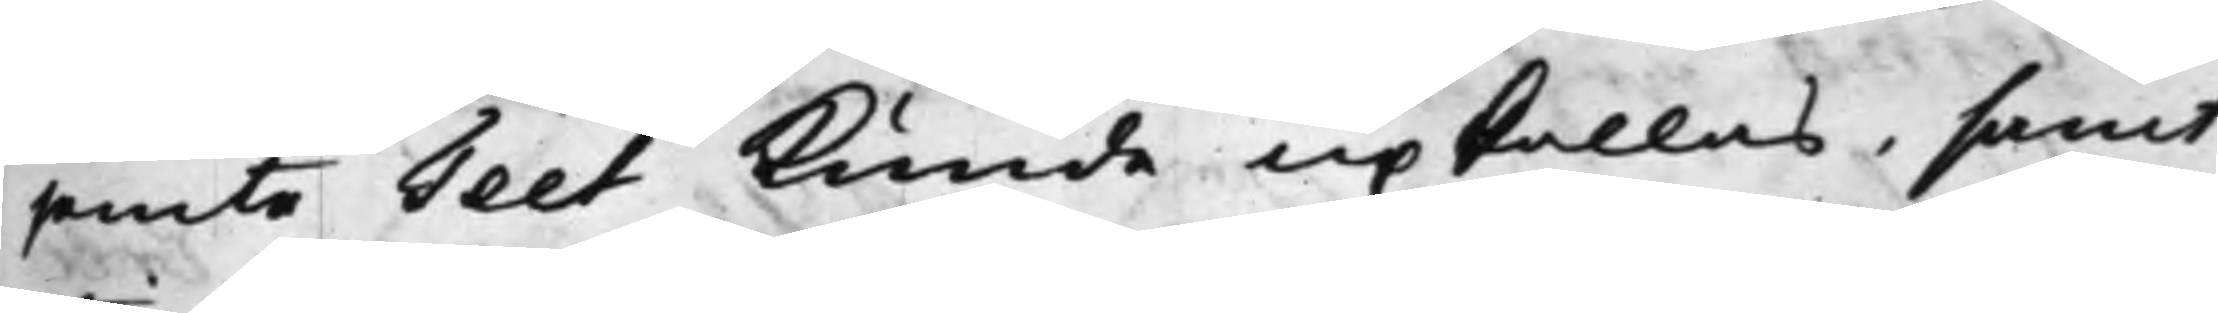jemte Teet Kunde upkallas, samt
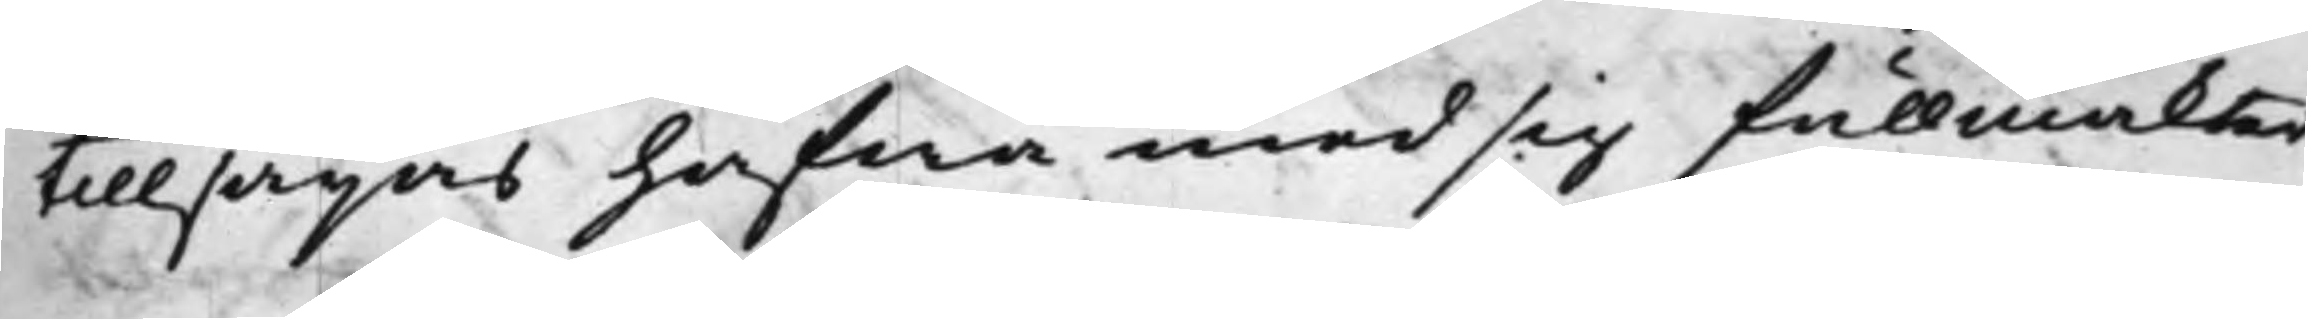tillsägas hafwa med sig fullmakter¬
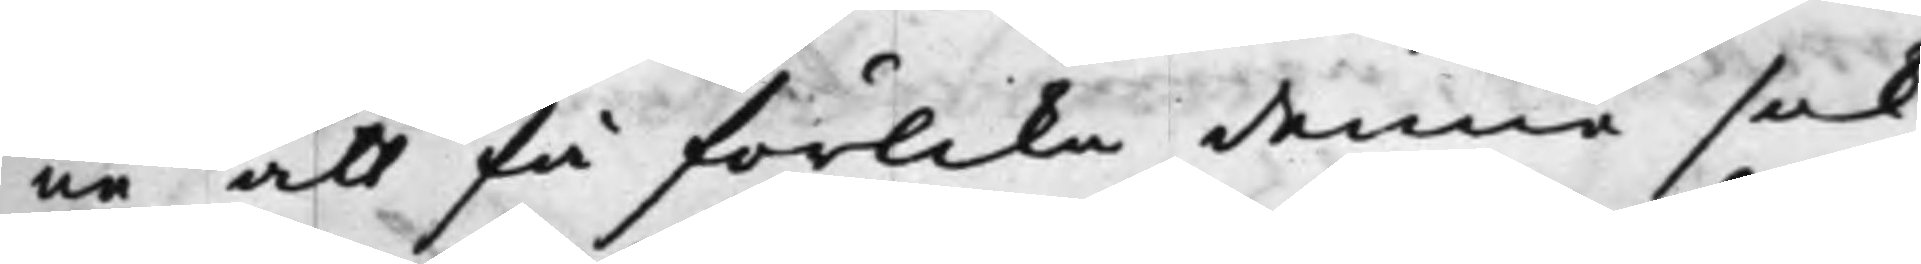ne att få förlika denna sak.
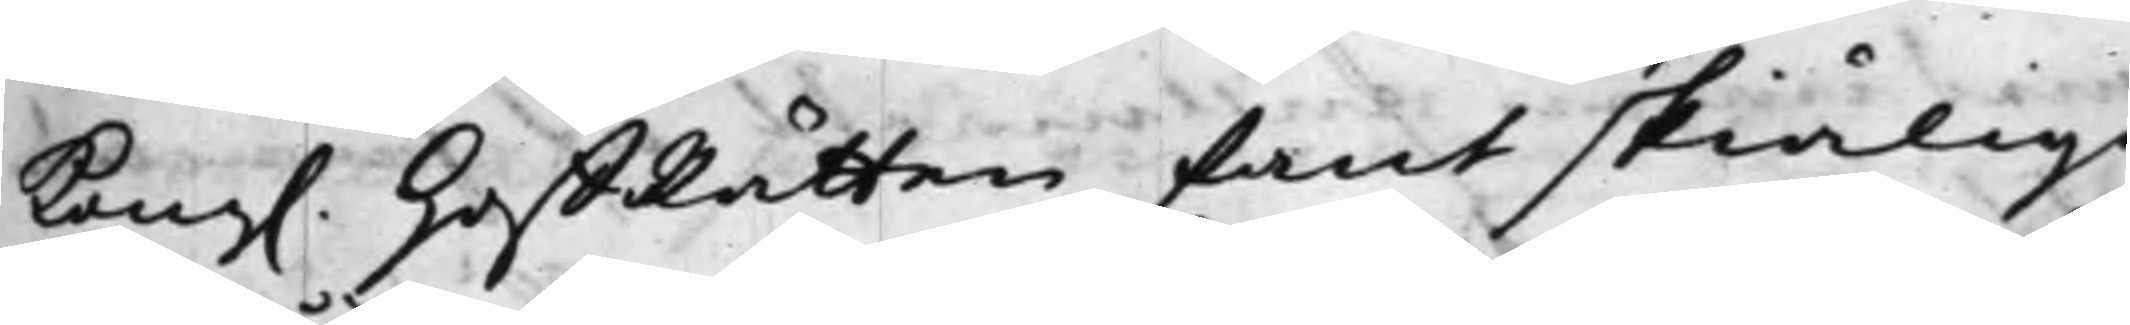Kong. HoffRätten fant skiäligt
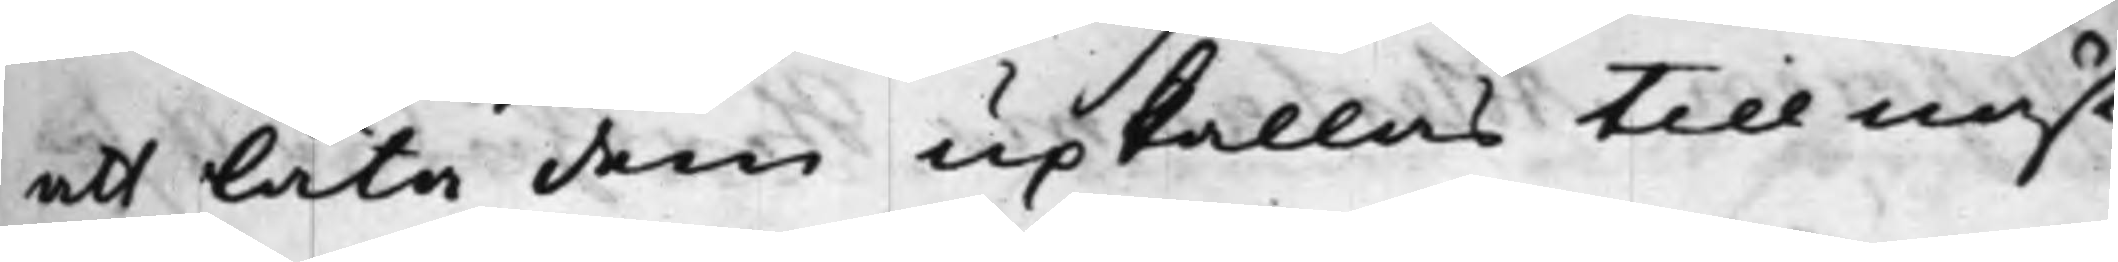att låta dem upkallas till näst¬
